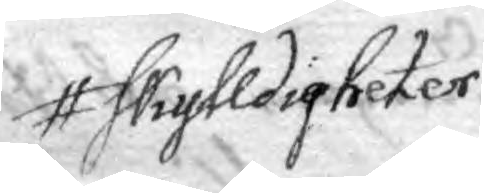skylldigheter
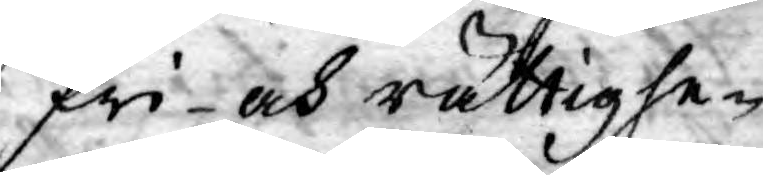fri- och rättighe¬
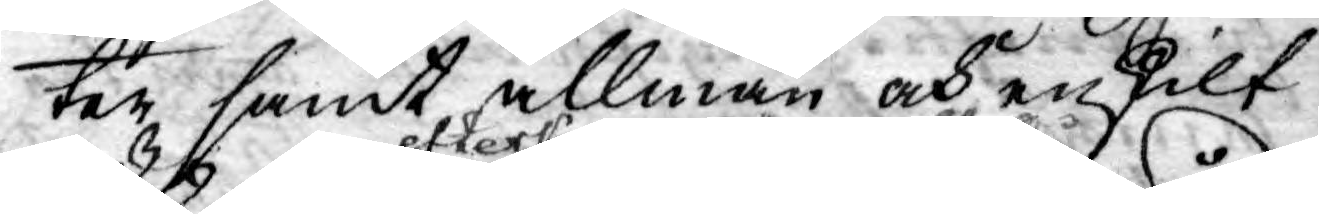ter samt allmän och enskilt
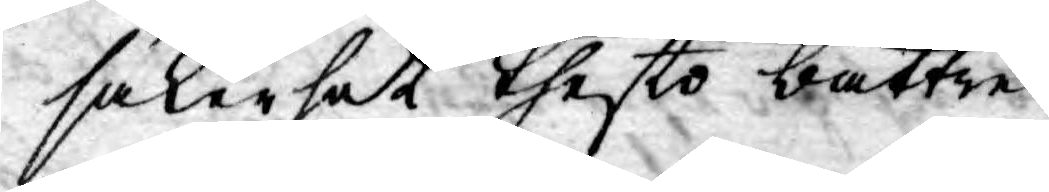säkerhet thesto bättre
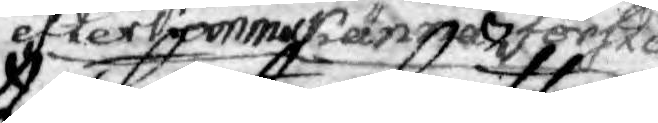efterkomma ämna förstå,
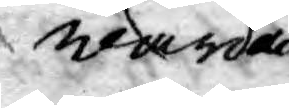wårda
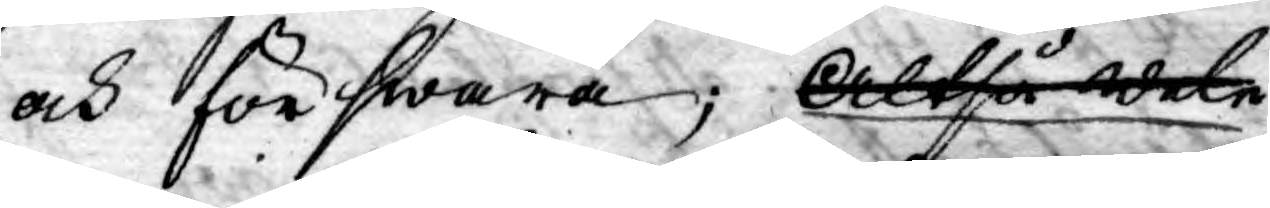och förswara; Altså wele
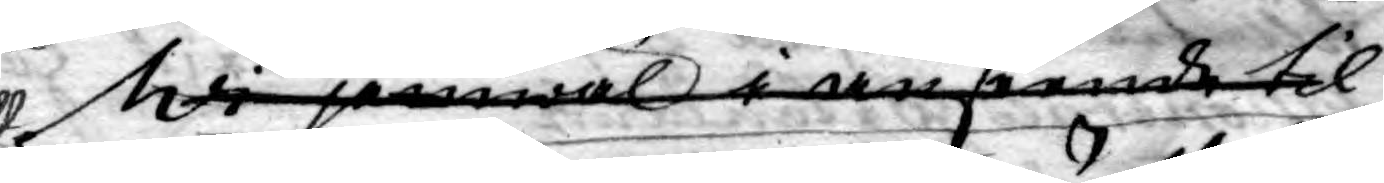Wi jemwäl i anseende til
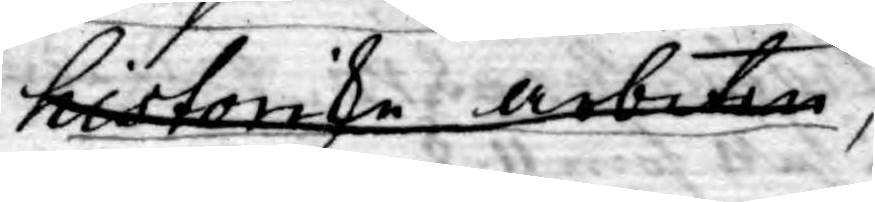historiske arbeten,
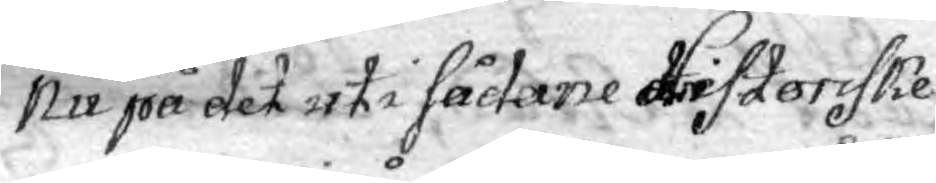Nu på det uti sådane Hristoriske
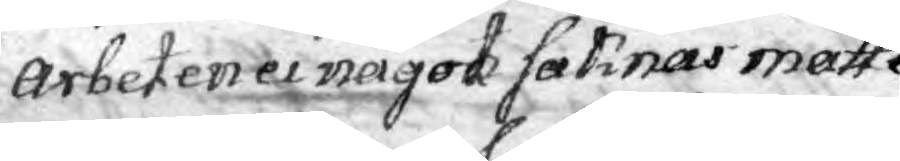arbeten ei något saknas måtte
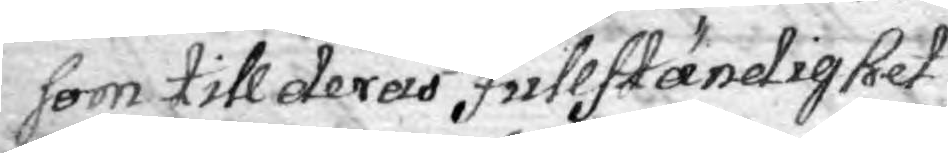som till deras fullständighet
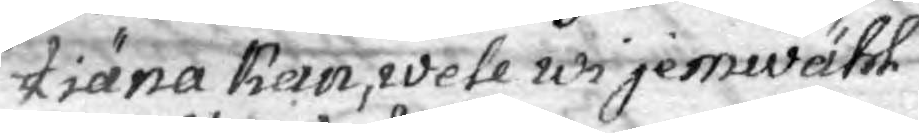tiäna kan, wele wi jemwähl
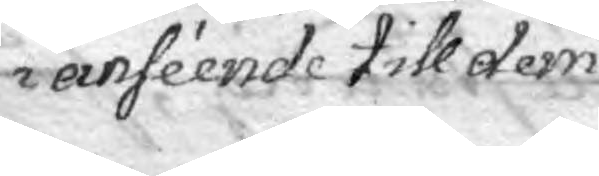i anseende till dem
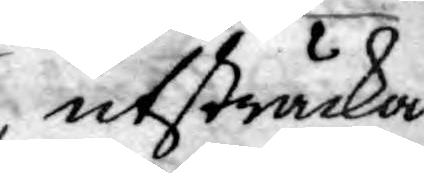utsträcka
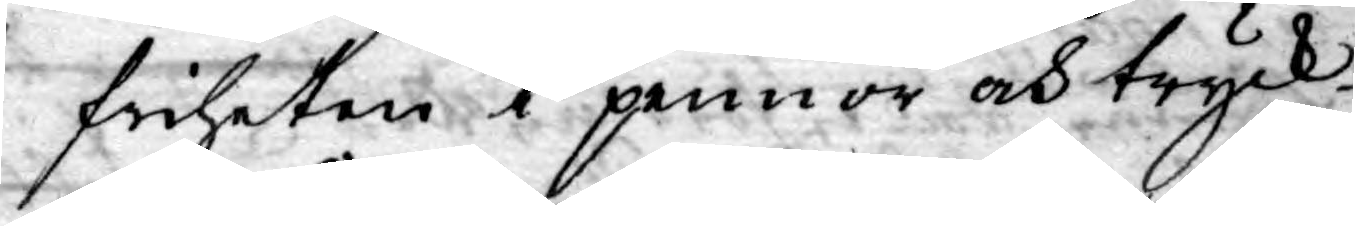friheten i pennor och tryck
